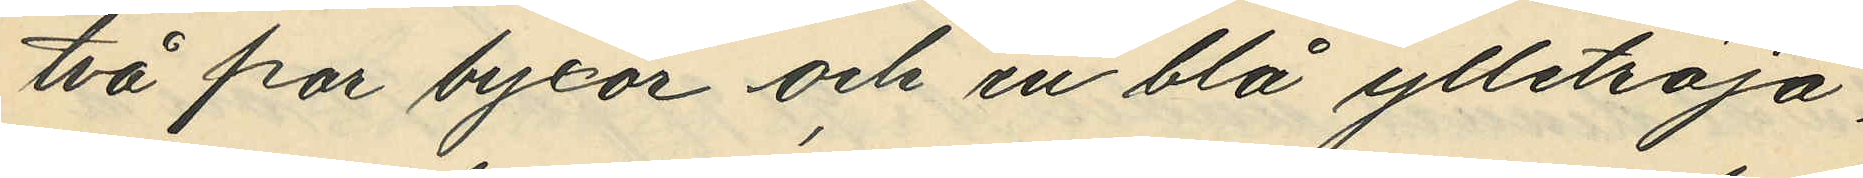två par byxor och en blå ylletröja,
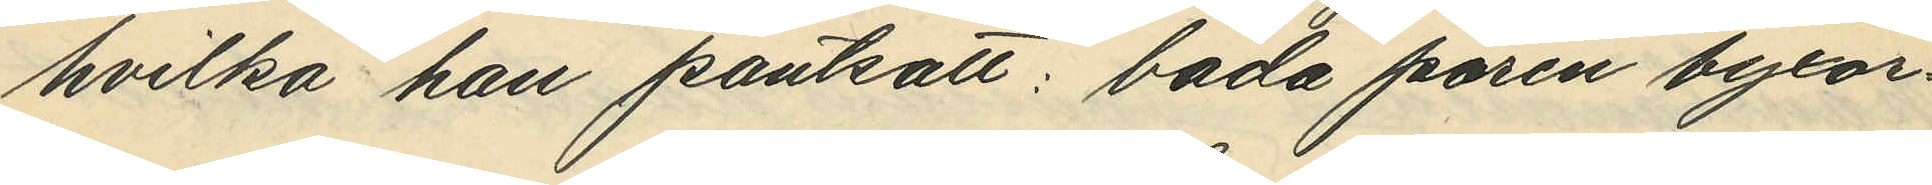hvilka han pantsatt båda paren byxor¬
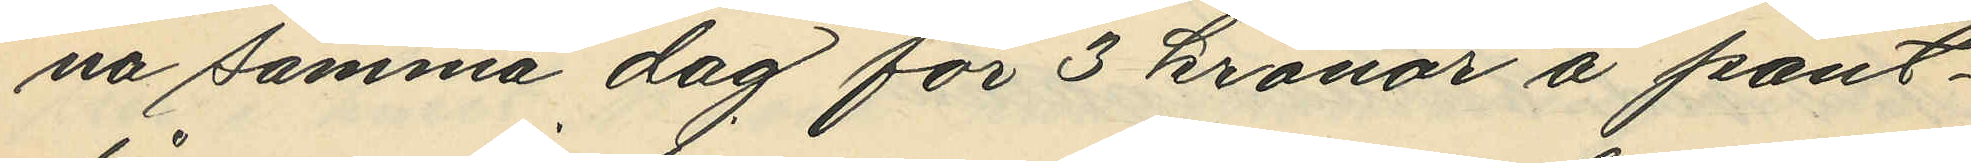na samma dag för 3 kronor å pant¬
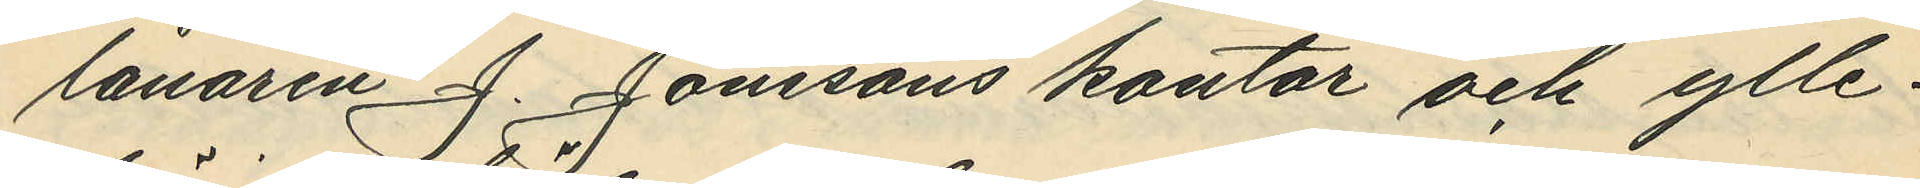lånaren J. Jonssons kontor och ylle¬
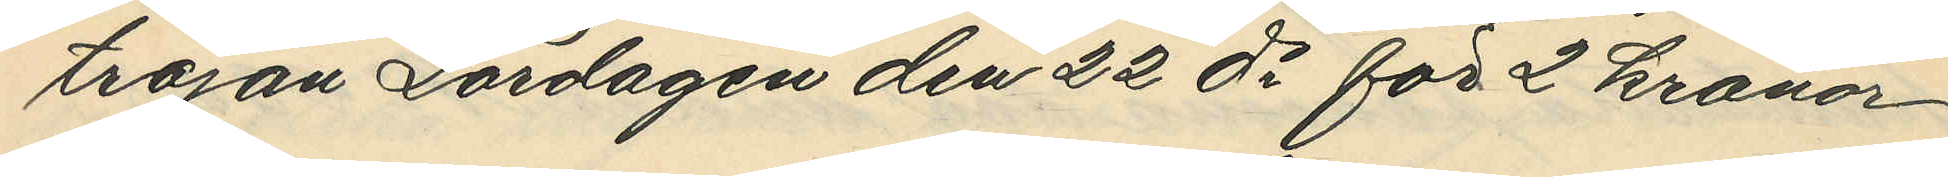tröjan Lördagen den 22 ds för 2 kronor
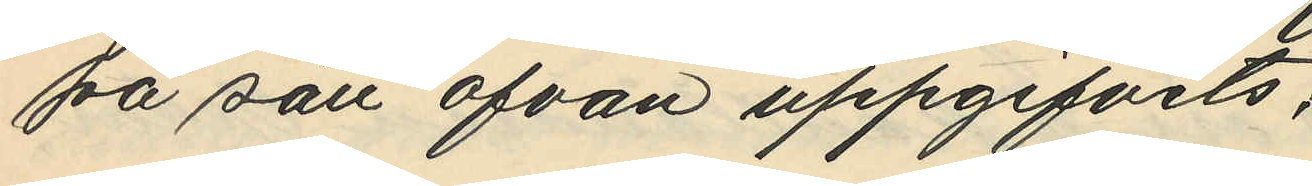på sätt ofvan uppgifvits,
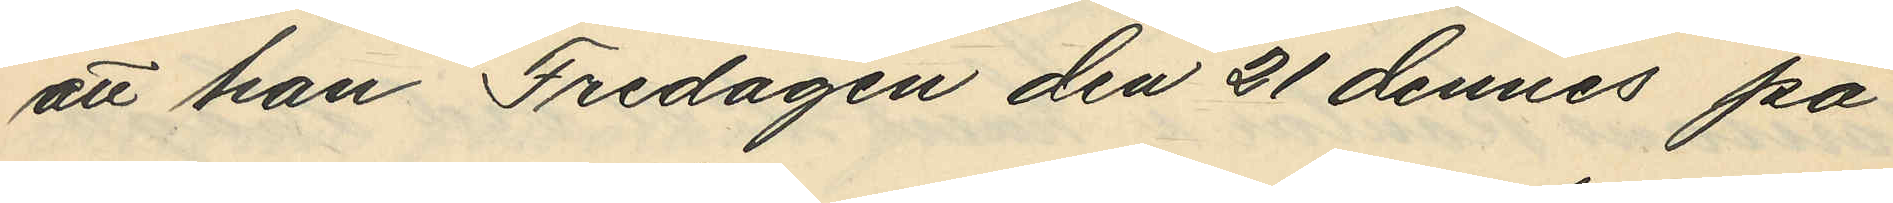att han Fredagen den 21 dennes på
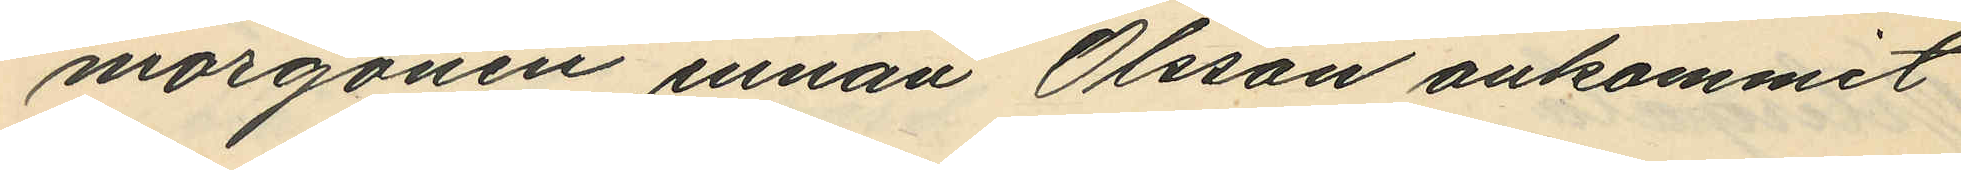morgonen innan Olsson ankommit
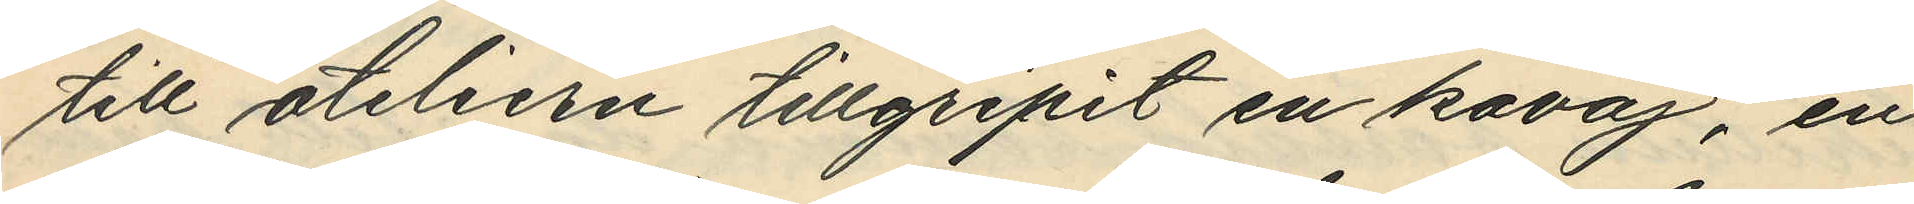till ateliern tillgripit en kavaj, en
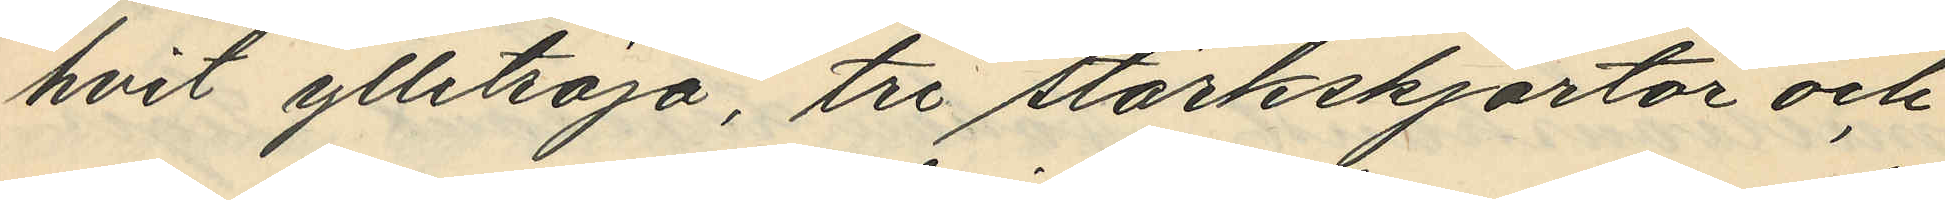hvit ylletröja, tre stärkskjortor och
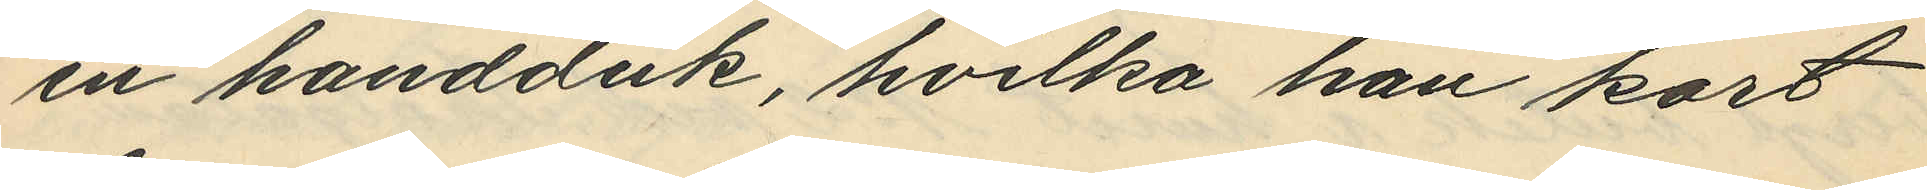en handduk, hvilka han kort
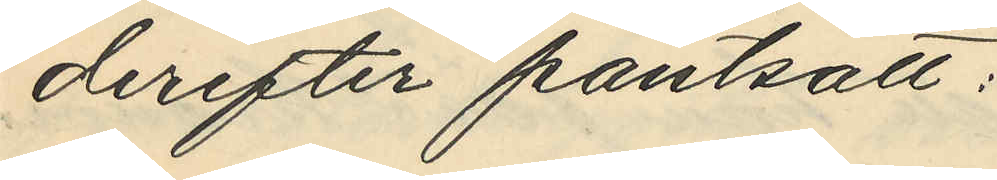derfeter pantsatt:
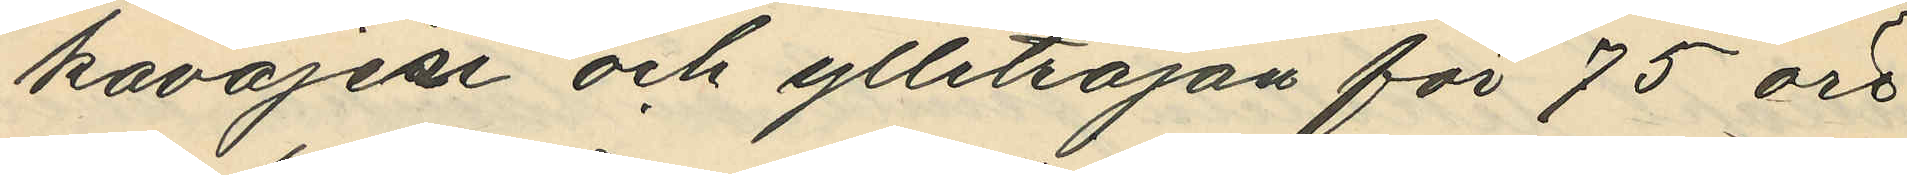kavajen och ylletröjan för 75 öre
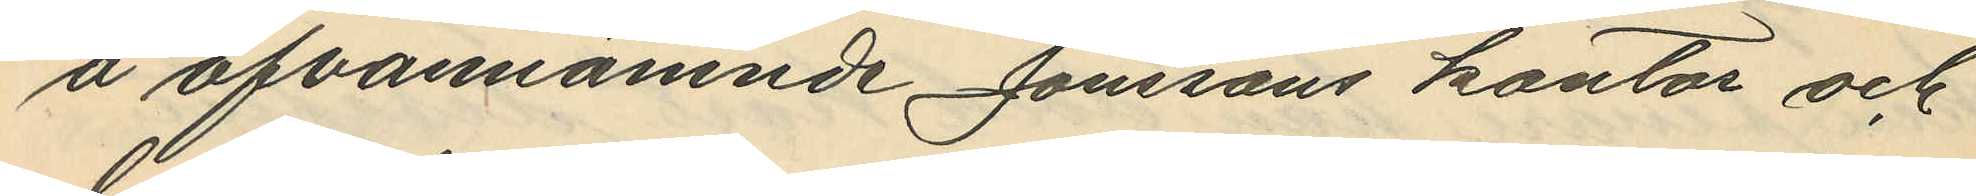å ofvannämnde Jonssons kontor och
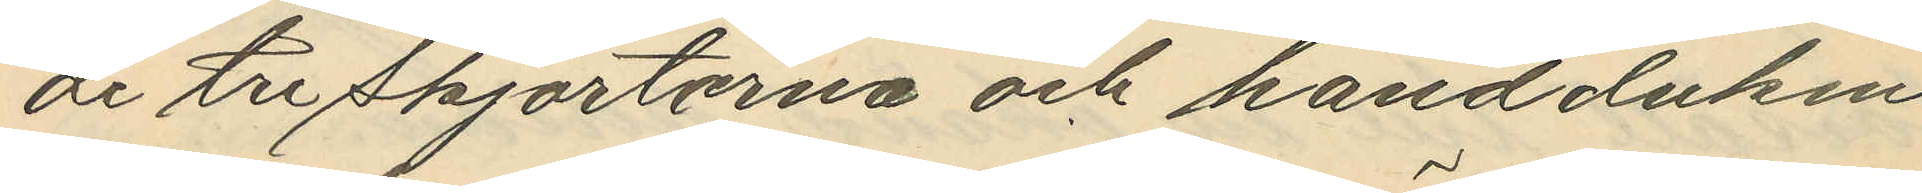de tre skjortorna och handduken
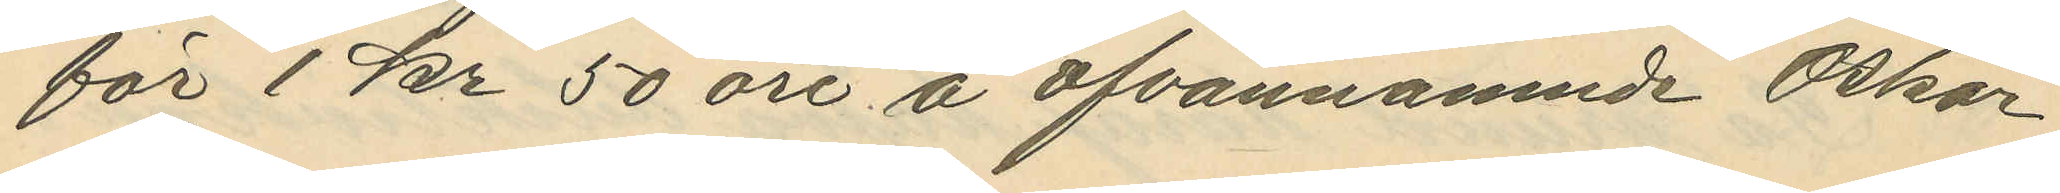för 1 kr 50 öre å ofvannämnde Oskar
